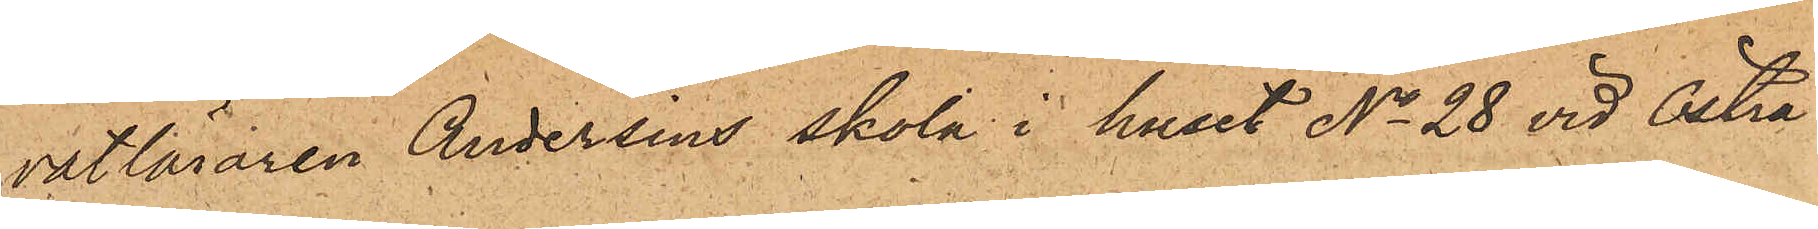vatläraren Andersins skola i huset No 28 vid Östra
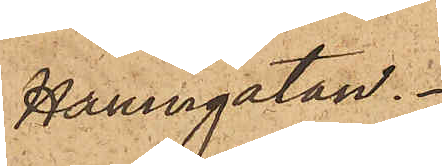Hamngatan.
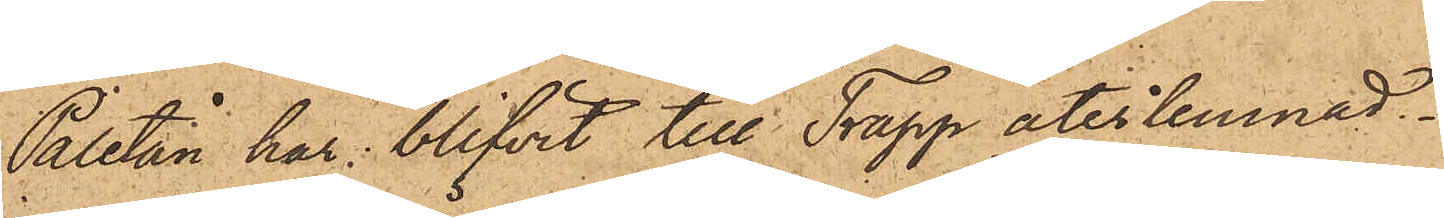Paletån har blifvit till Trapp återlemnad.
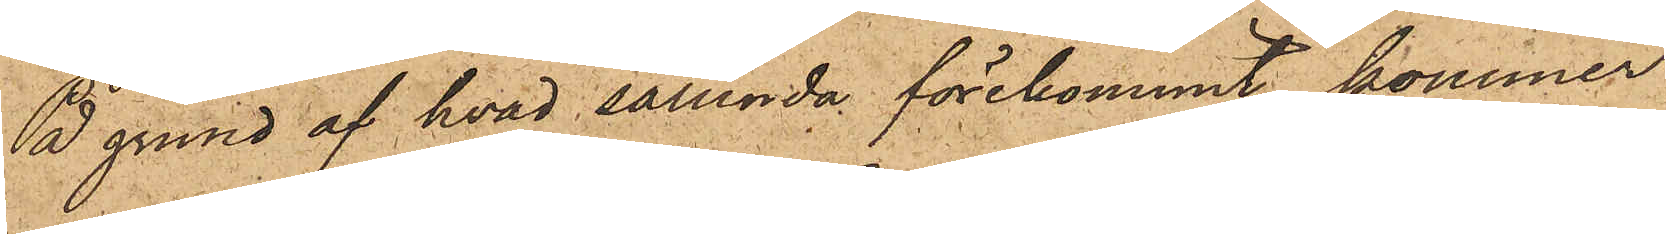På grund af hvad sålunda förekommit, kommer
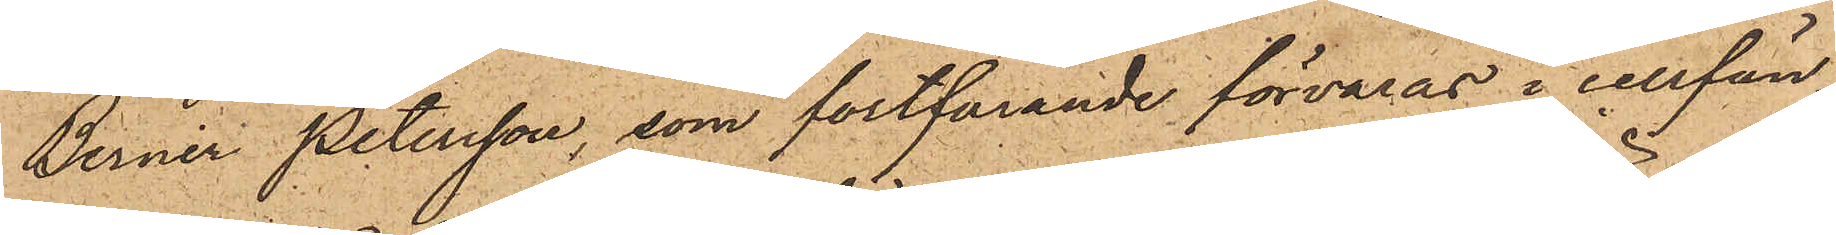Berner Petersson, som fortfarande förvaras i cellfän¬
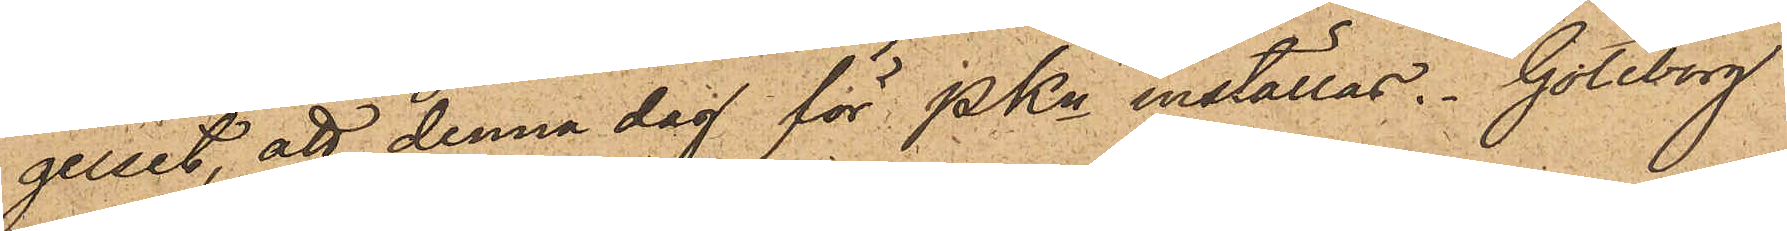gelset, att denna dag för PKn inställas. Göteborg
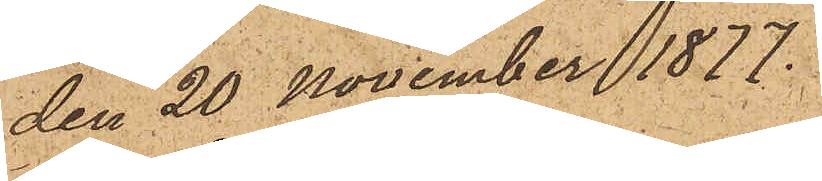den 20 November 1877.
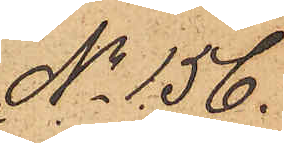No 156.
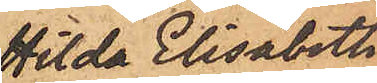Hilda Elisabeth
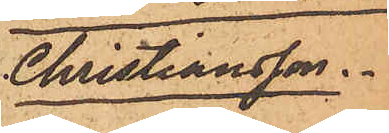Christiansson.
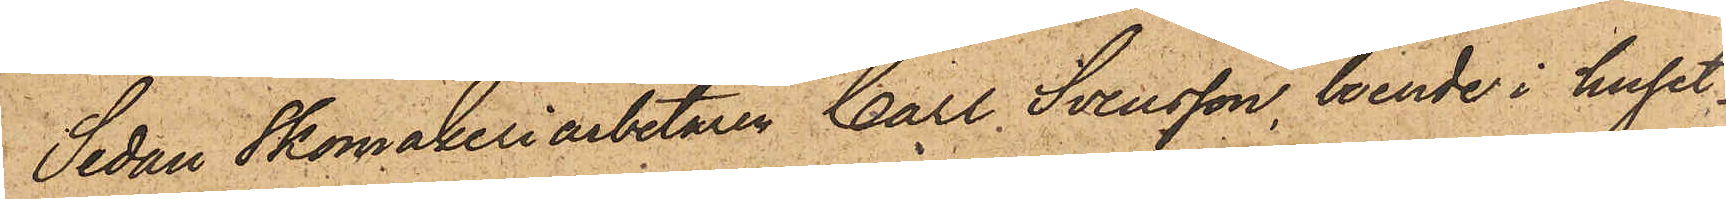Sedan Skomakeriarbetaren Carl Svensson, boende i huset
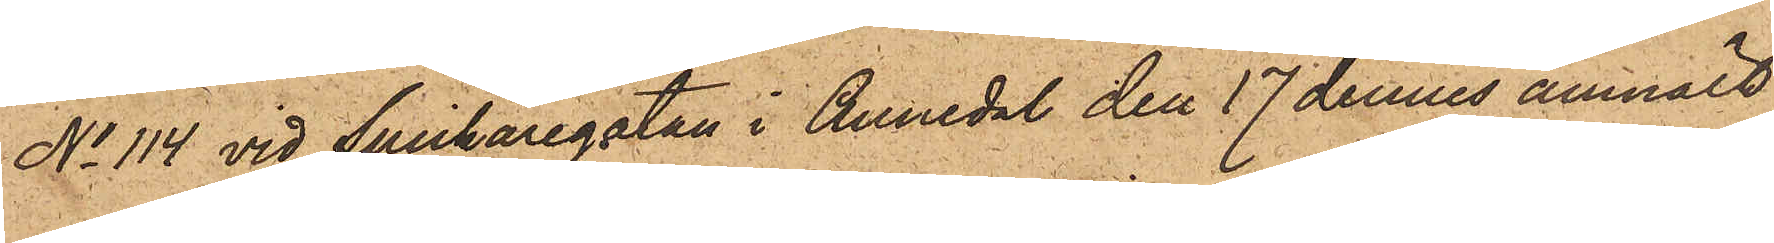No 114 vid Snickaregatan i Annedal den 17 dennes anmält,
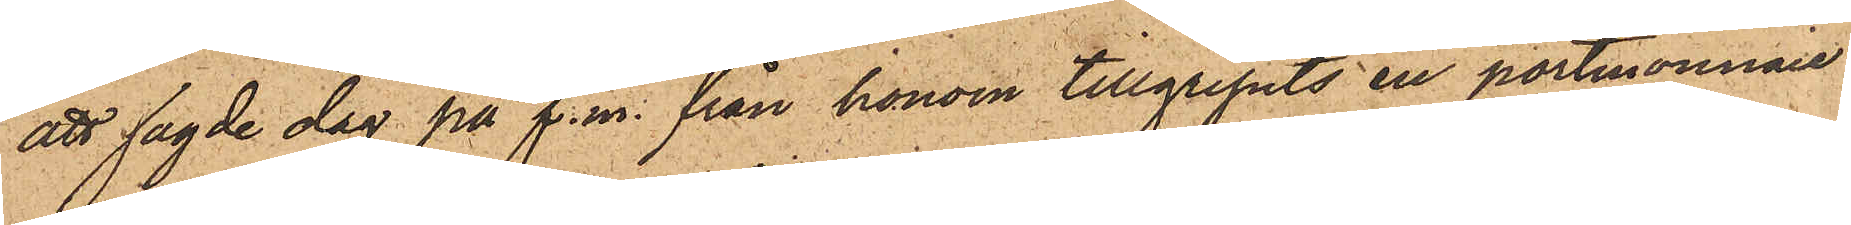att sagde dag på f. m. från honom tillgripits en portmonnaie
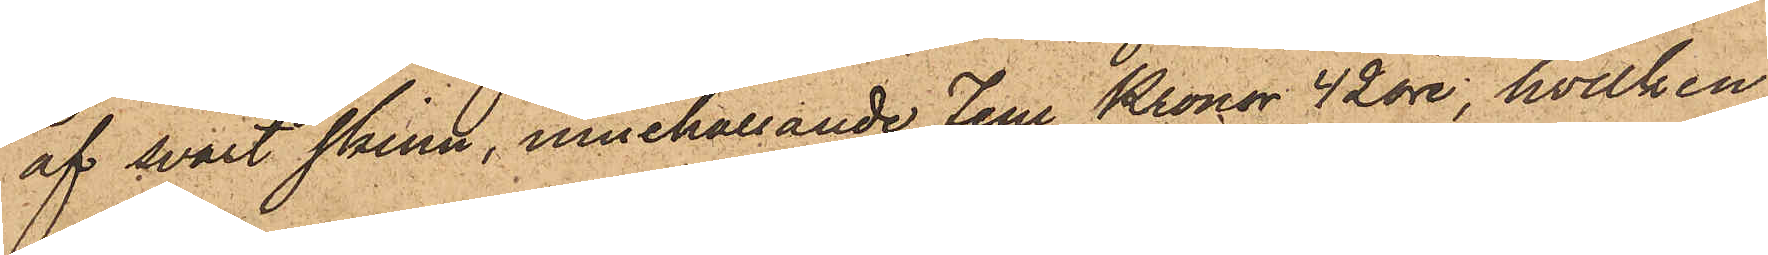af svart skinn, innehållande Fem Kronor 42 öre, hvilken
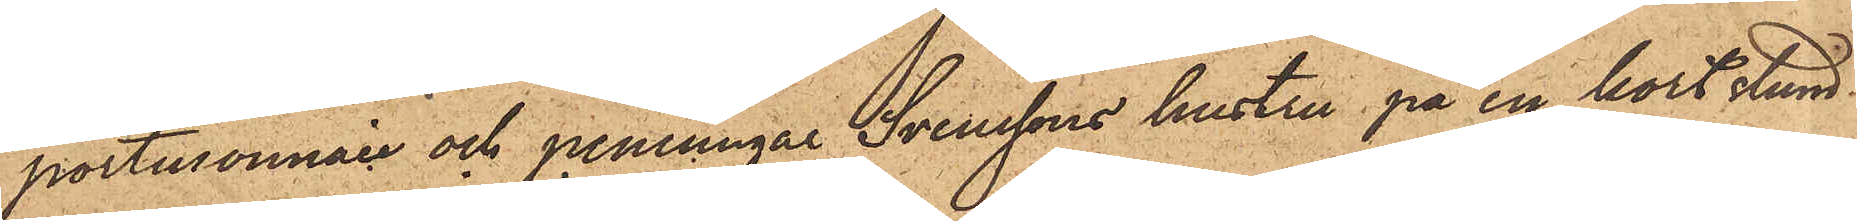portmonnaie och penningar Svenssons hustru på en kort stund
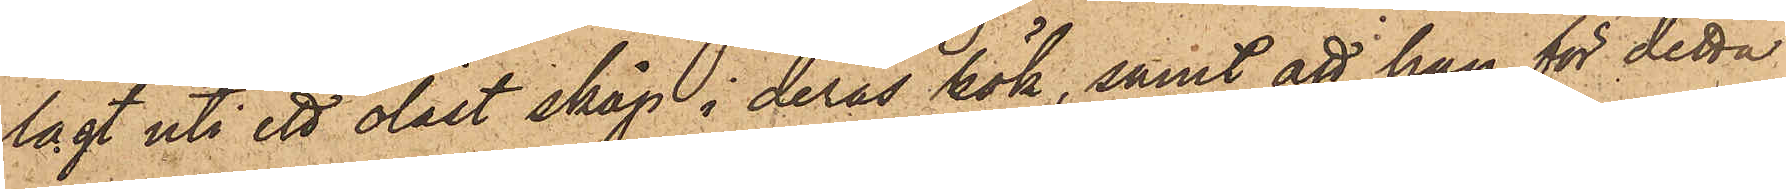lagt uti ett olåst skåp i deras kök, samt att han för detta
